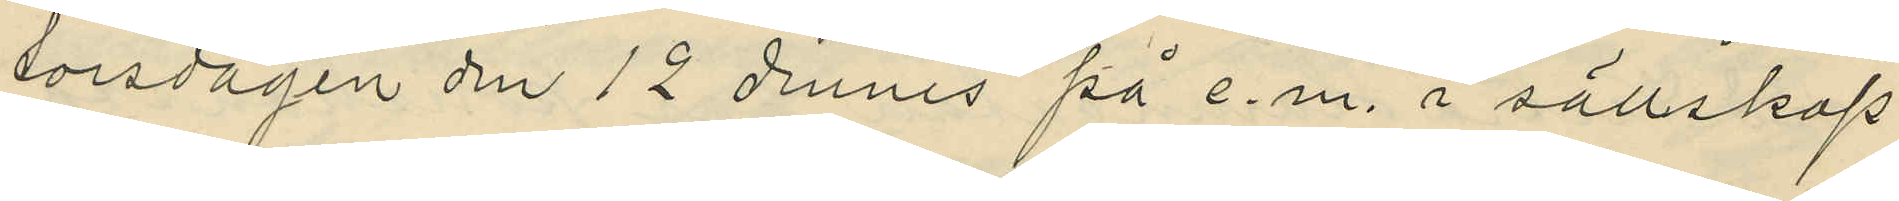torsdagen den 12 dennes på e.m. i sällskap
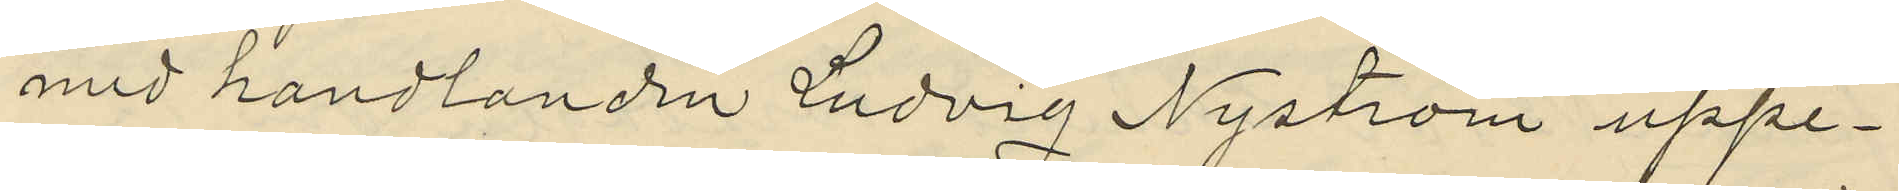med handlanden Ludvig Nyström uppe¬
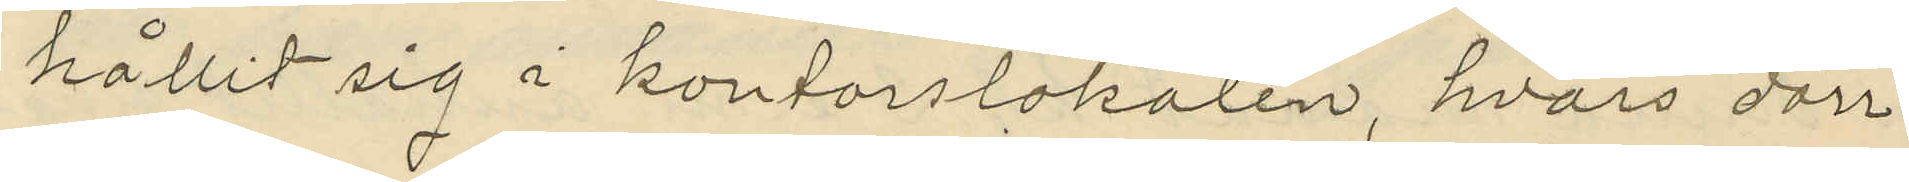hållit sig i kontorslokalen, hvars dörr
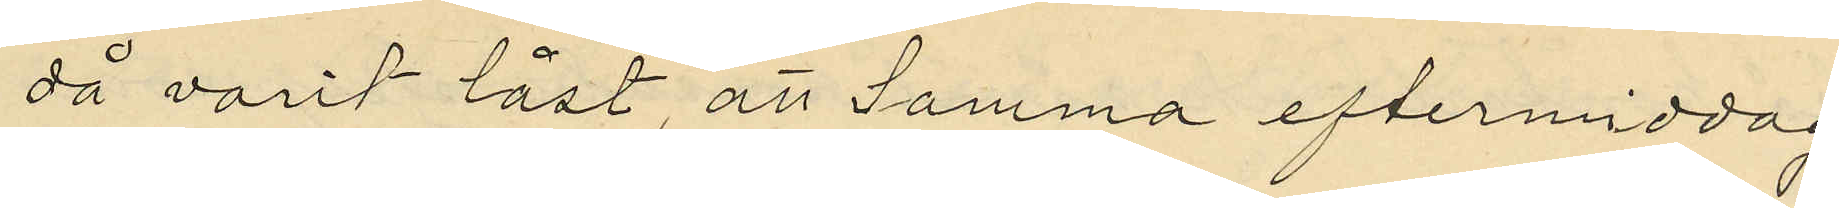då varit låst, att Samma eftermiddag
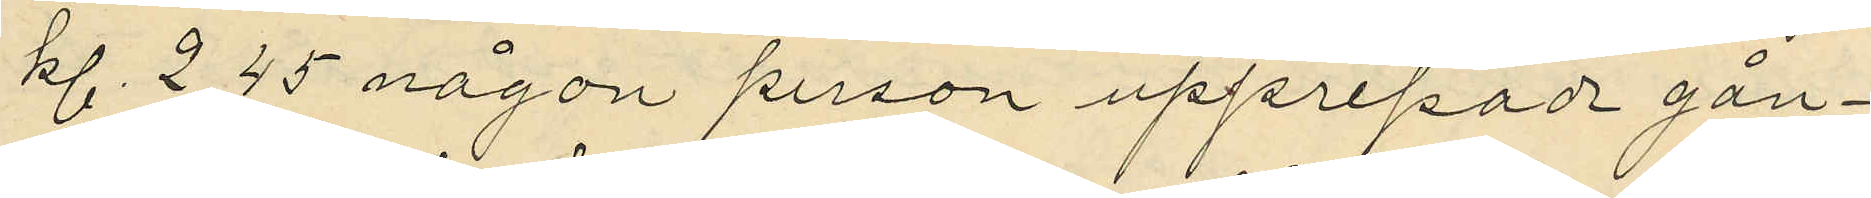kl. 2,45 någon person upprepade gån¬
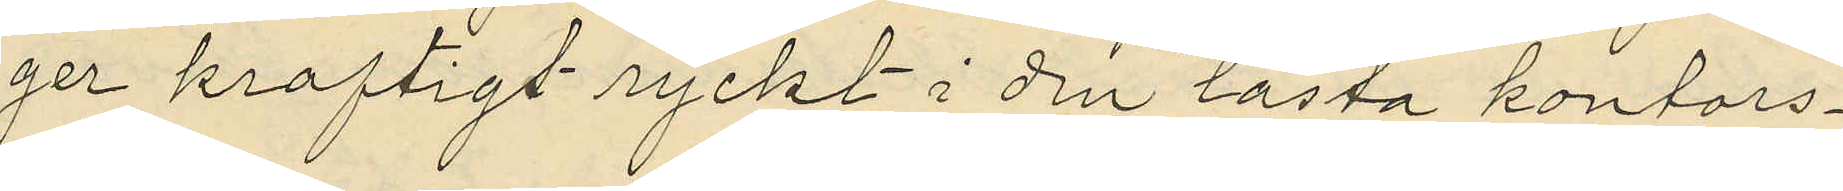ger kraftigt ryckt i den låsta kontors¬
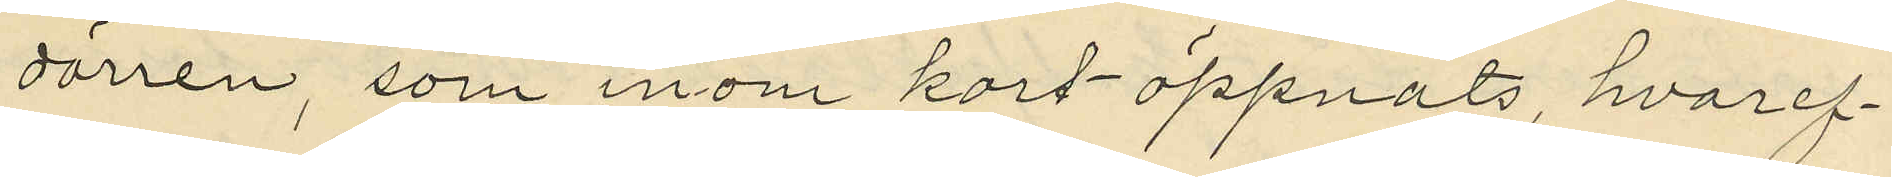dörren, som inom kort öppnats, hvaref¬
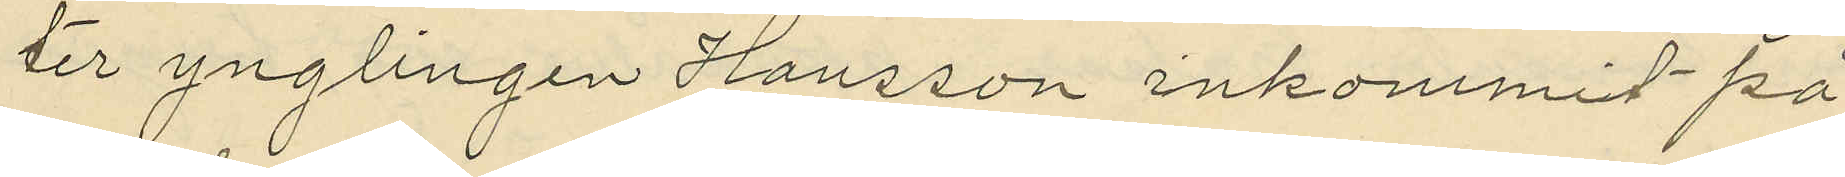ter ynglingen Hansson inkommit på
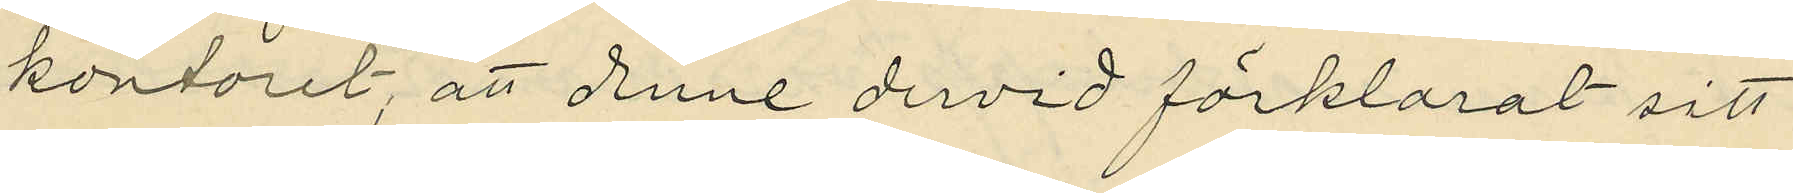kontoret, att denne dervid förklarat sitt
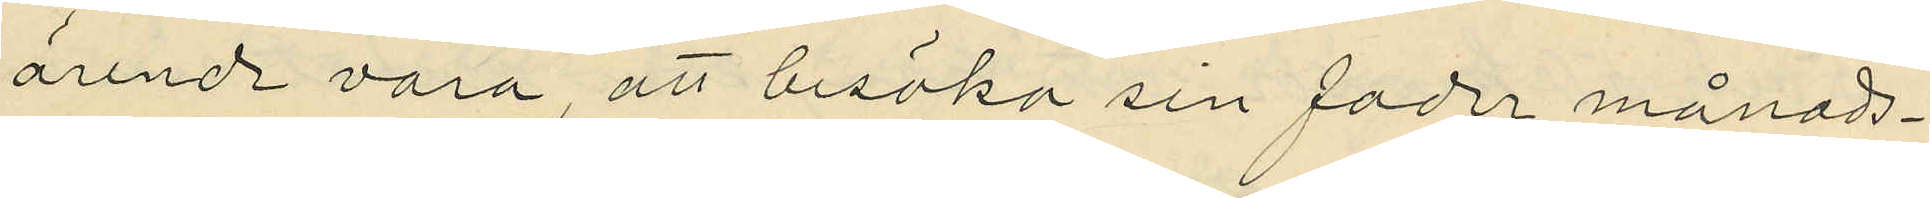ärende vara, att besöka sin fader månads¬
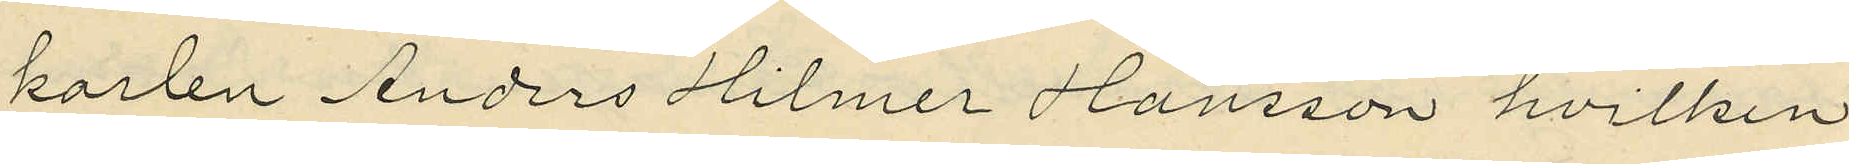karlen Anders Hilmer Hansson hvilken
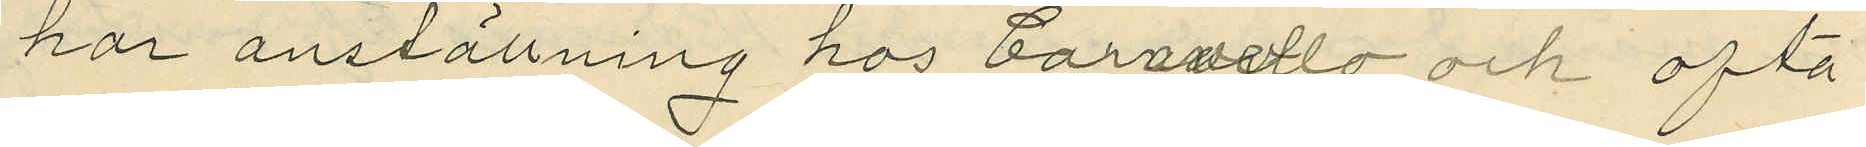har anställning hos Caravello och ofta
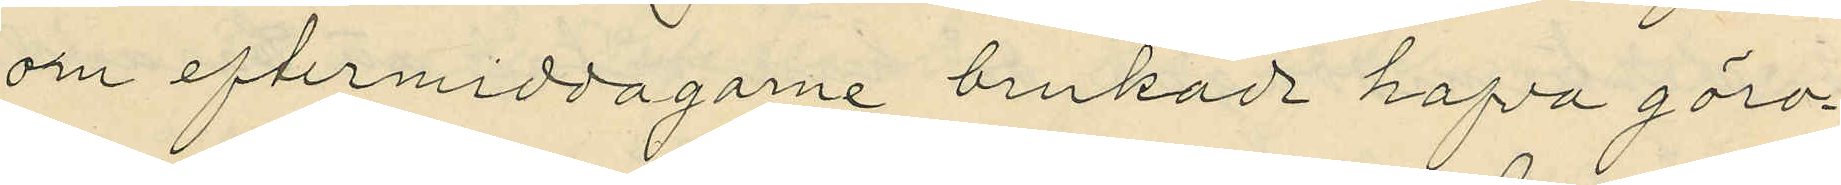om eftermiddagarne brukade hafva göro¬
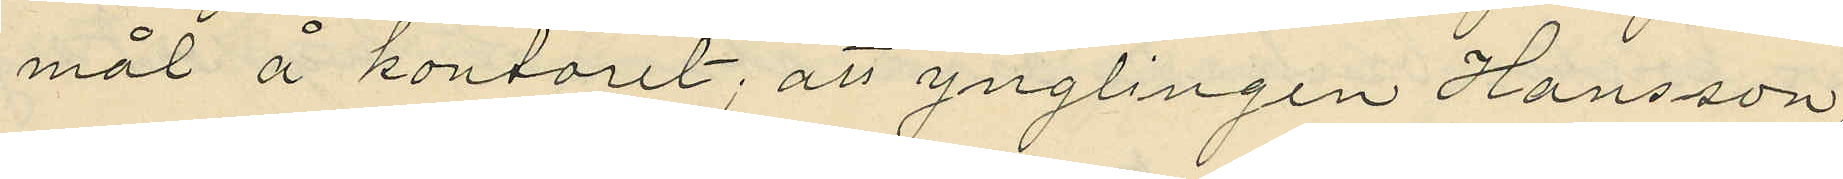mål å kontoret; att ynglingen Hansson,
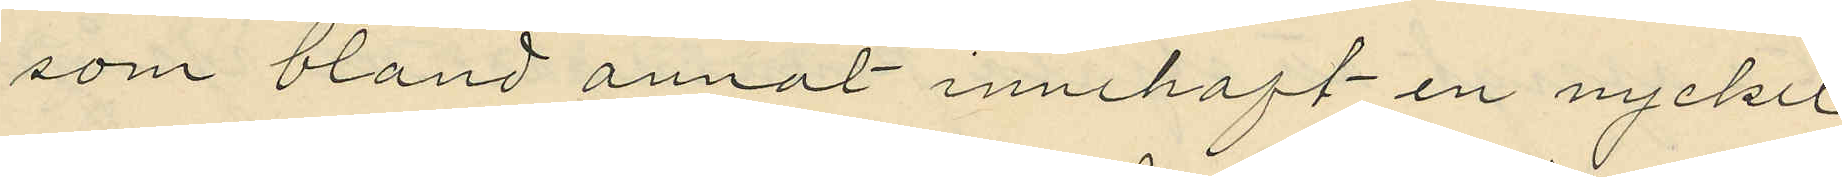som bland annal innehaft en nyckel
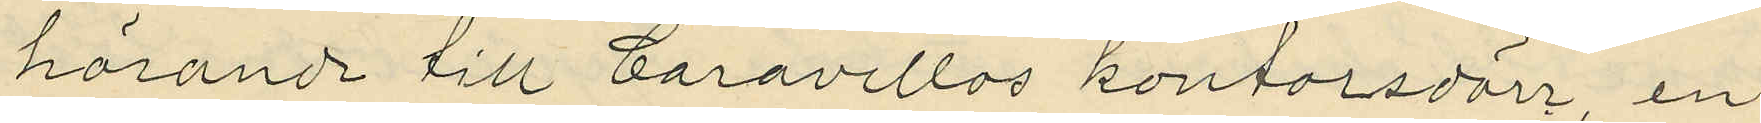hörande till Caravellos kontorsdörr, en
